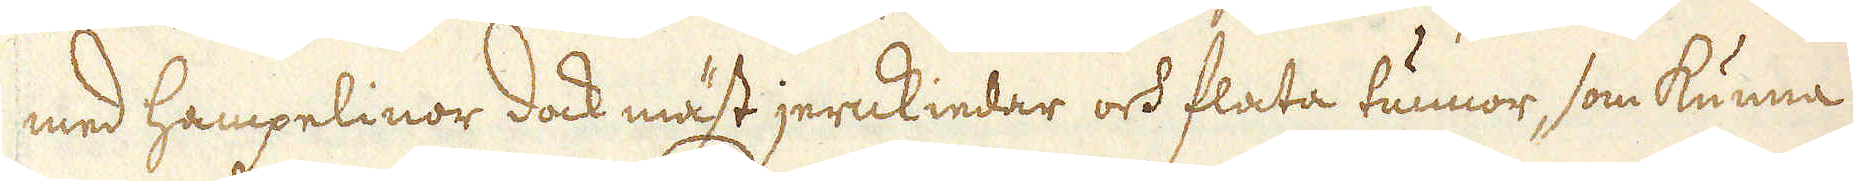med Hampelinor dock mäst jernkiedar och flata tunnor, som kunna
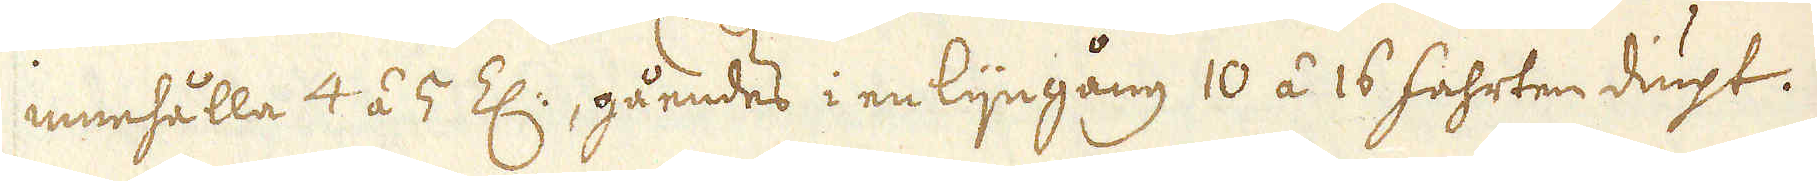innehålla 4 á 5 Z:, gåendes i en lijngång 10 á 16 fahrten diupt.
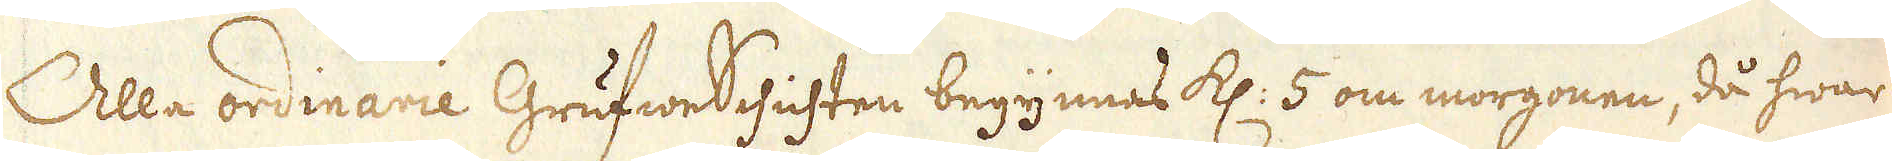Alla ordinarie GrufweSchichten begynnas kl: 5 om morgonen, då hwar
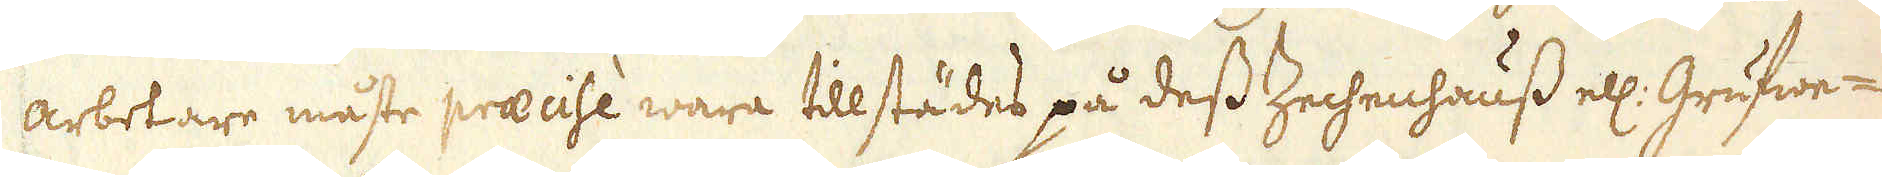arbetare måste praecise wara tillstädes på dess Zechenhauss ell: Grufwe-
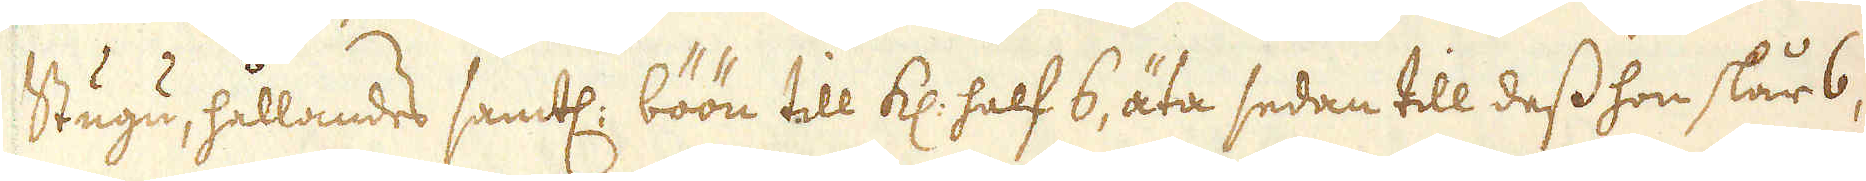Stugu, hållandes samtl: böön till kl: half 6, äta sedan till dess hon slår 6,
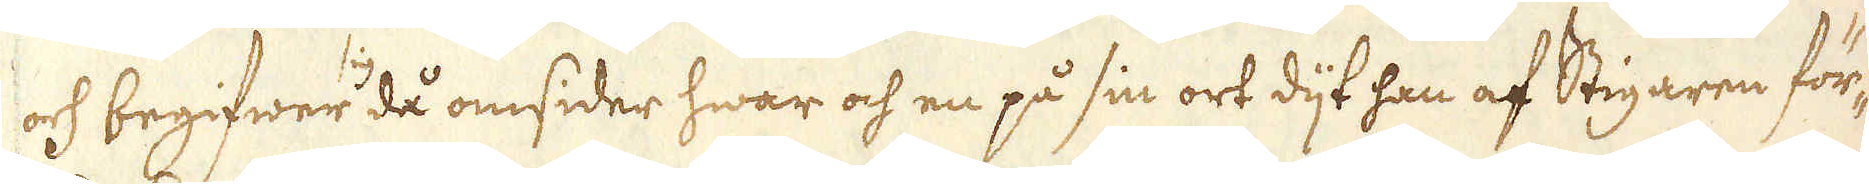och begifwer sig då omsider hwar och en på sin ort dijt han af Stigaren för-
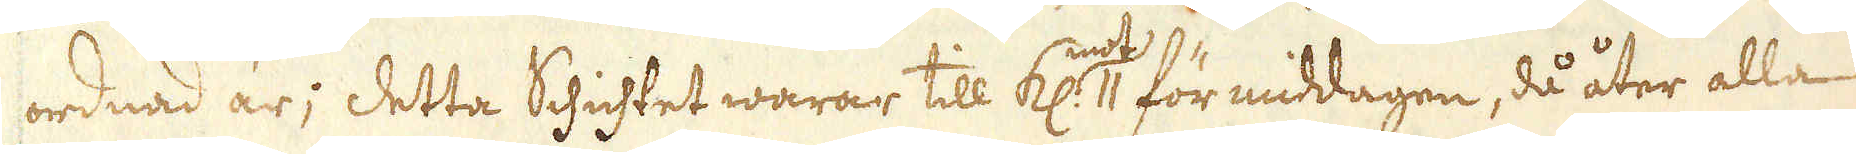ordnad är; Detta Schichtet warar till kl: mot 11 för middagen, då åter alla
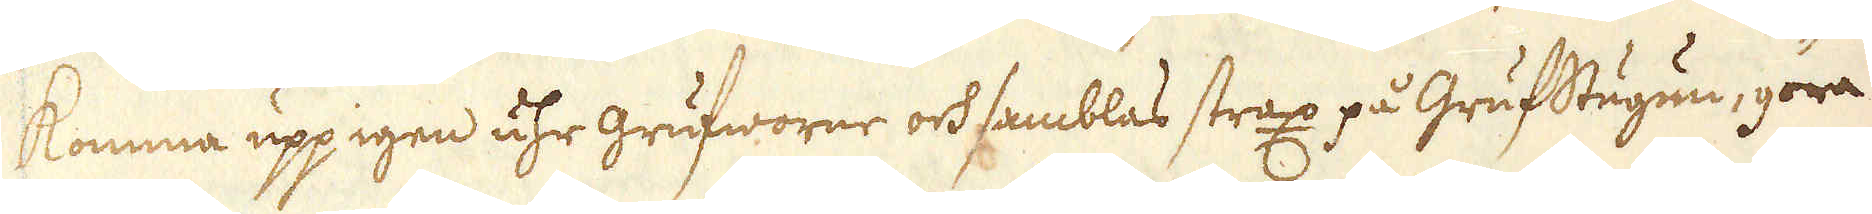komma upp igen uhr grufworne och samblas strax på Grufstugun, göra
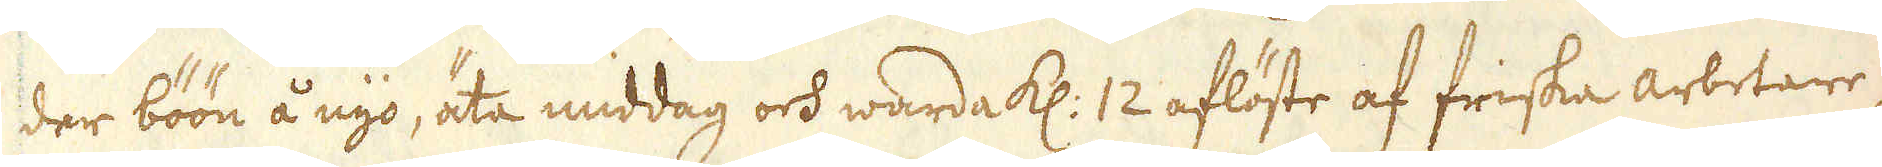der böön å nyo, äta middag och warda kl: 12 aflöste af friska arbetare,
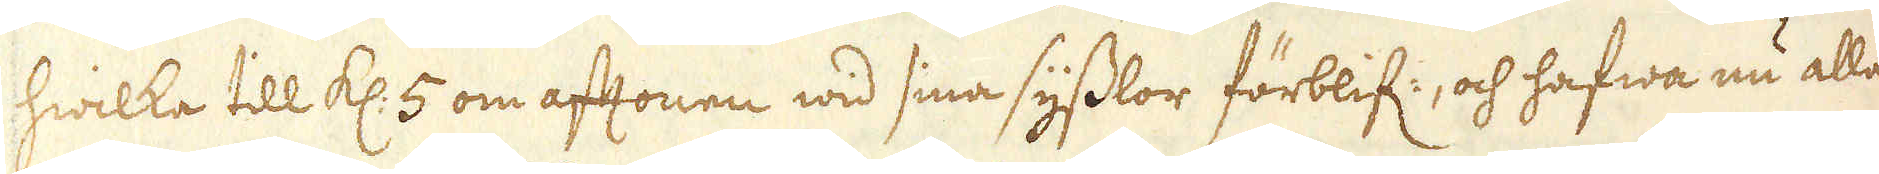hwilka till kl: 5 om aftonen wid sina sysslor förblif:, och hafwa nu alla
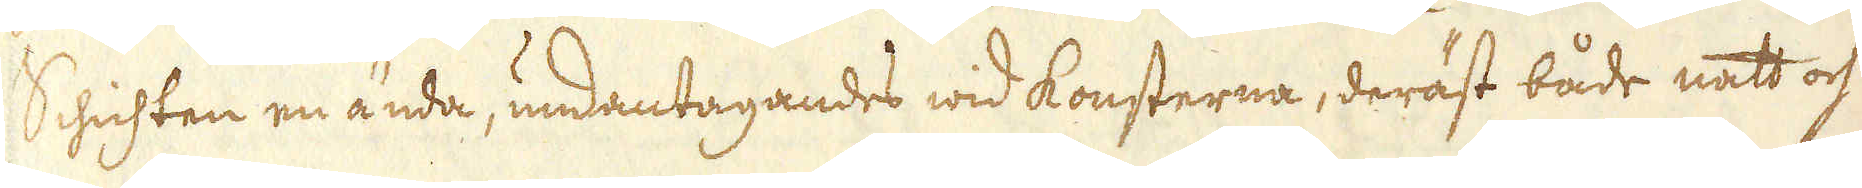Schichten en ända, undantagandes wid konsterna, deräst både natt och
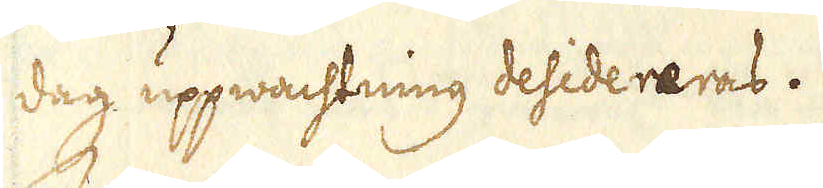dag uppwachtning desidereras.
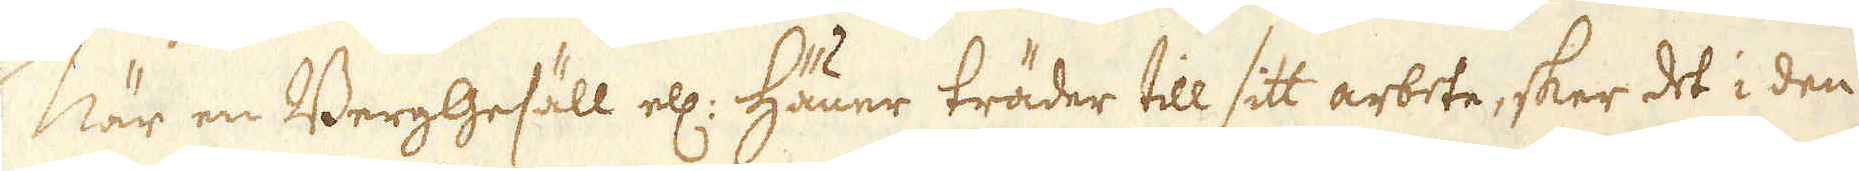När en BergGesäll ell: Häuer träder till sitt arbete, sker det i den
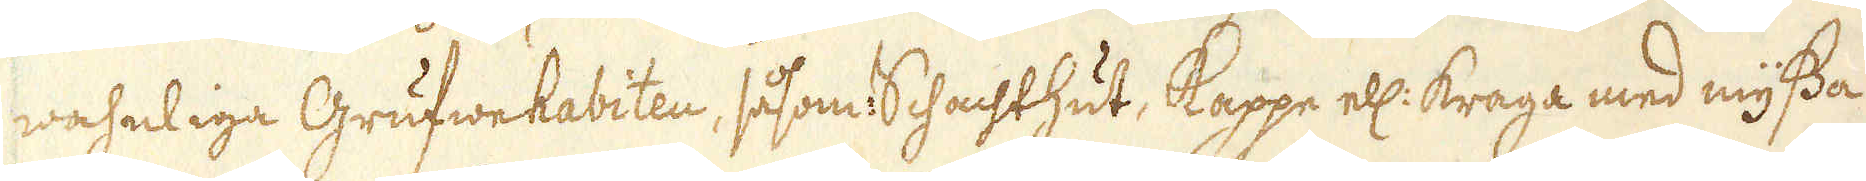wahnliga Grufwehabiten, såsom: Schachthut, Kappe ell: kraga med myssa
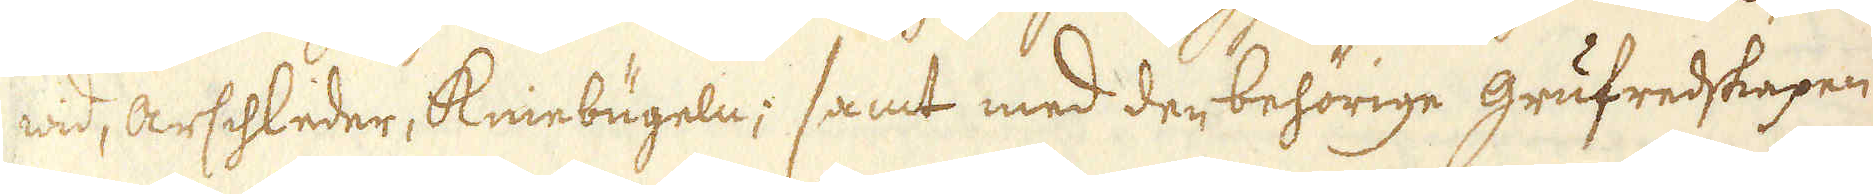wid, arschleder, Kniebugeln; samt med der behörige grufredskapen
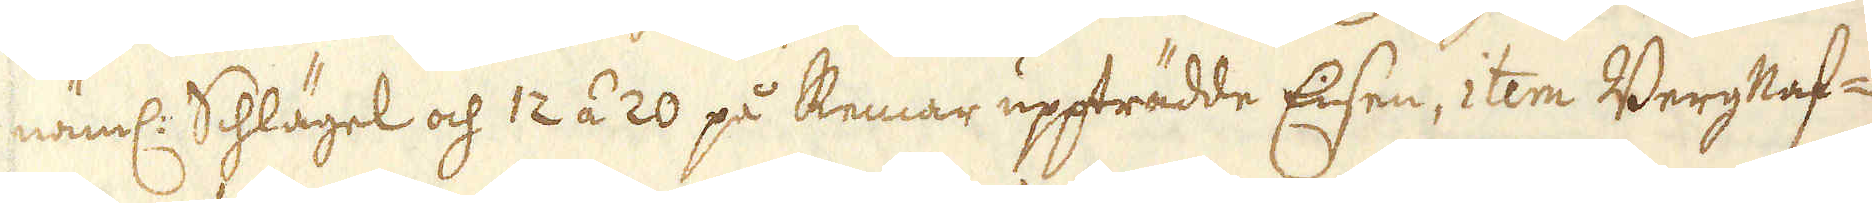näml: Schlägel och 12 á 20 på Remar uppträdde Eisen, item Bergnaf-
